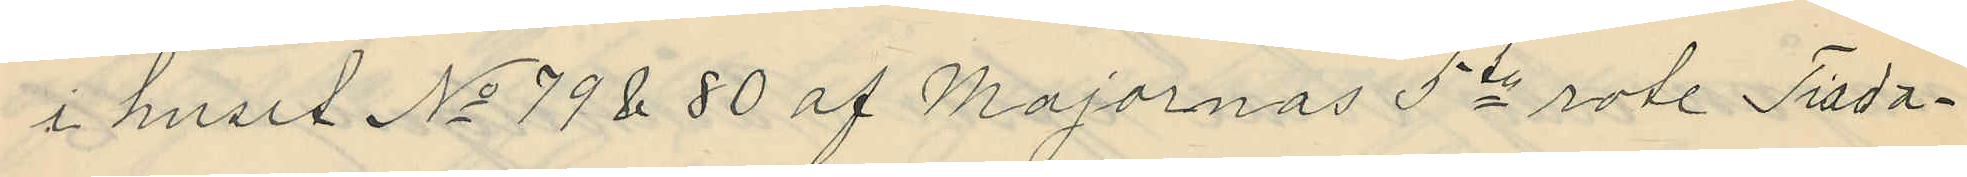i huset No 79 & 80 af Majornas 5te rote Tisda¬
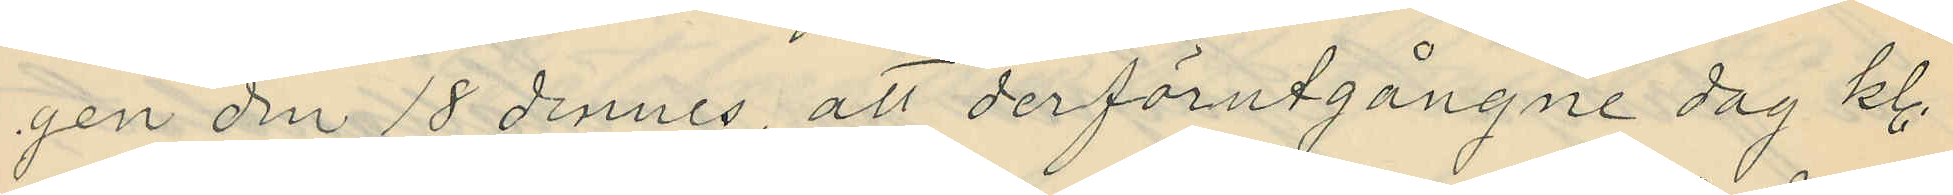gen den 18 dennes, att derförutgångne dag kl.
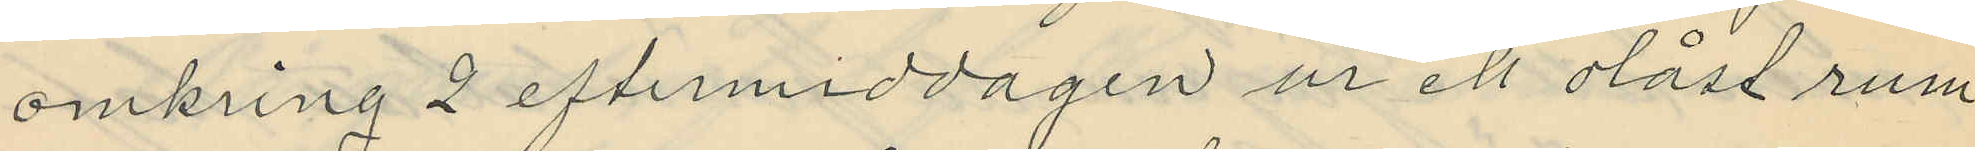omkring 2 eftermiddagen ur ett olåst rum
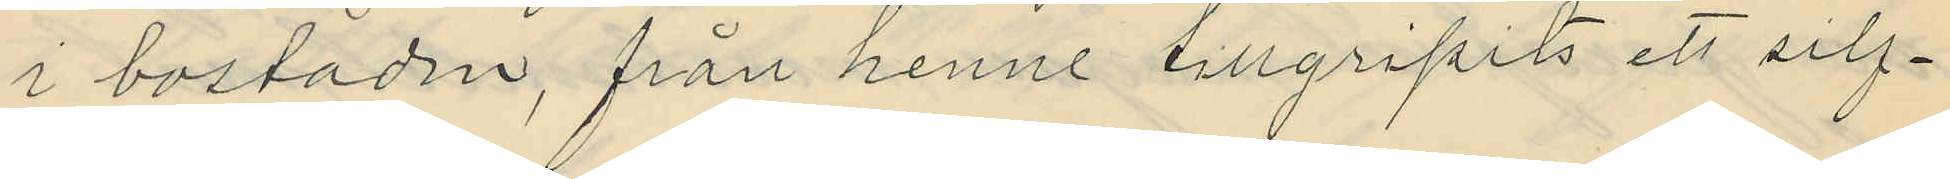i bostaden, från henne tillgripits ett silf¬
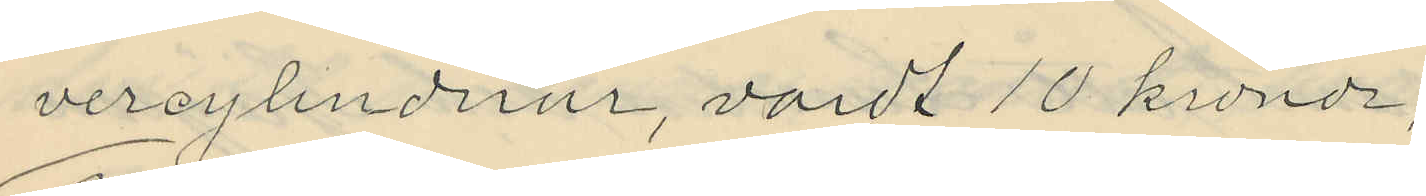vercylinderur, värdt 10 kronor;
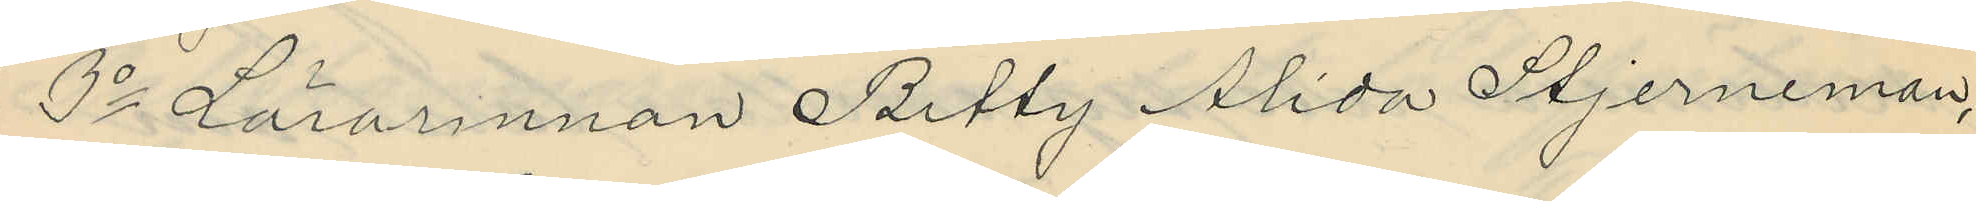3o Lärarinnan Betty Alida Stjerneman,
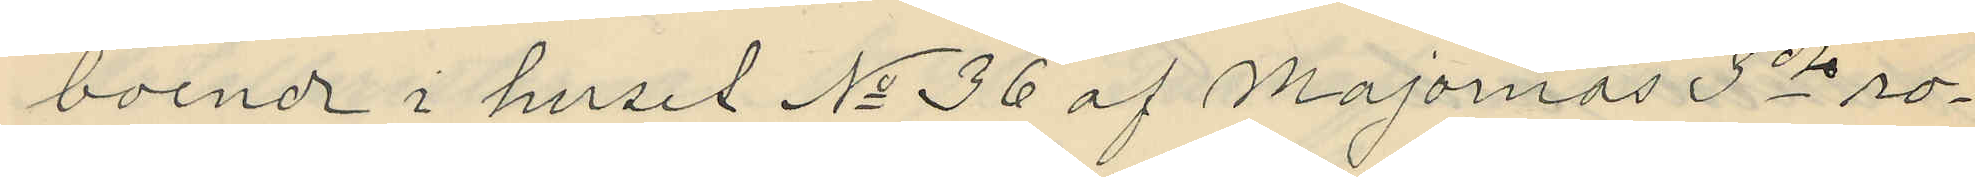boende i huset No 36 af Majornas 3de ro¬
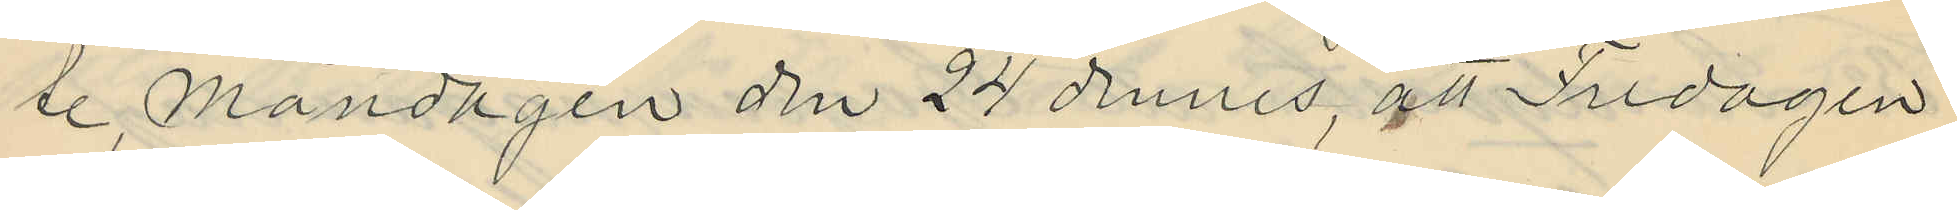te, Måndagen den 24 dennes, att Fredagen
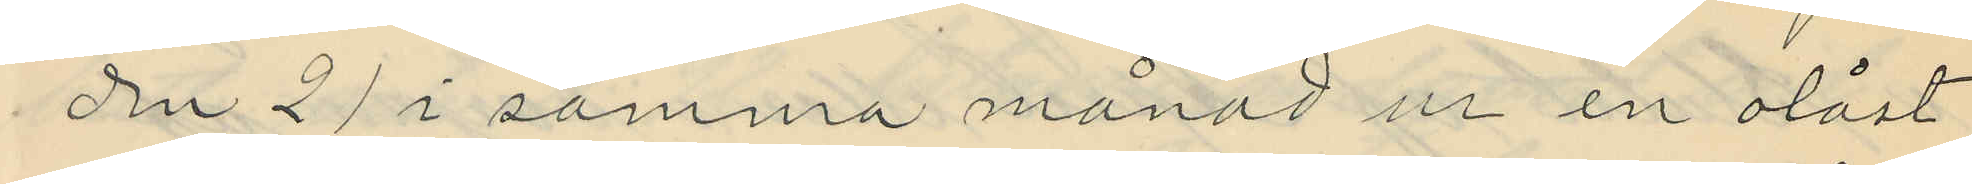den 21 i samma månad ur en olåst
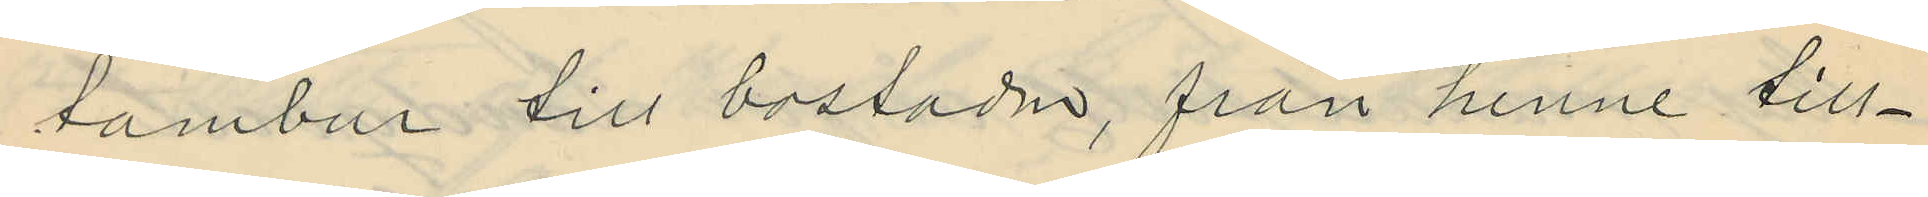tambur till bostaden, från henne till¬
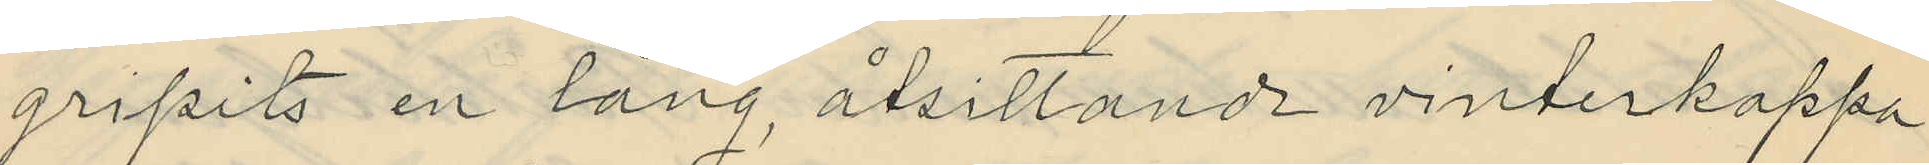gripits en lång, åtsittande vinterkappa
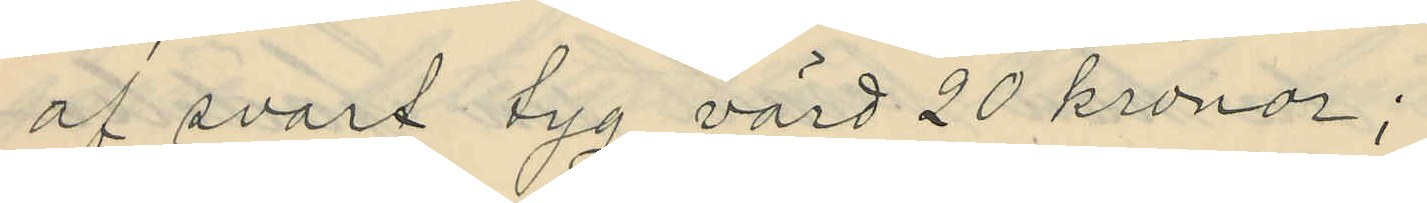af svart tyg värd 20 kronor;
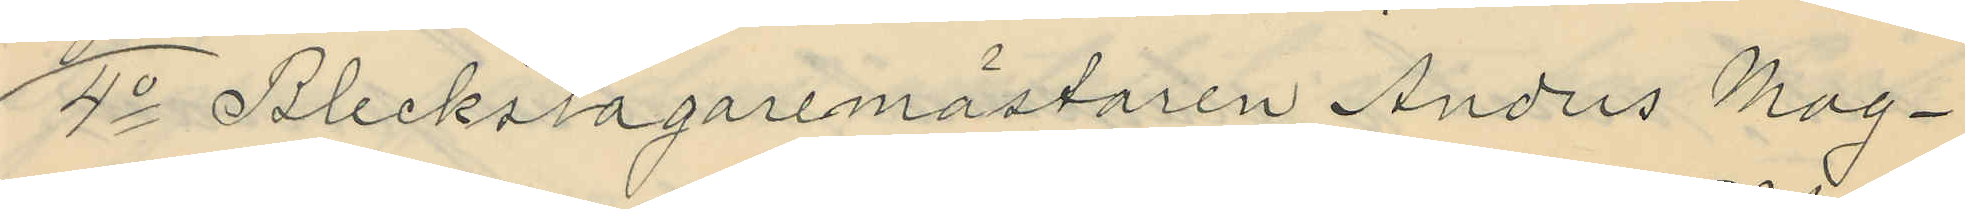4o Bleckslagaremästaren Anders Mag¬
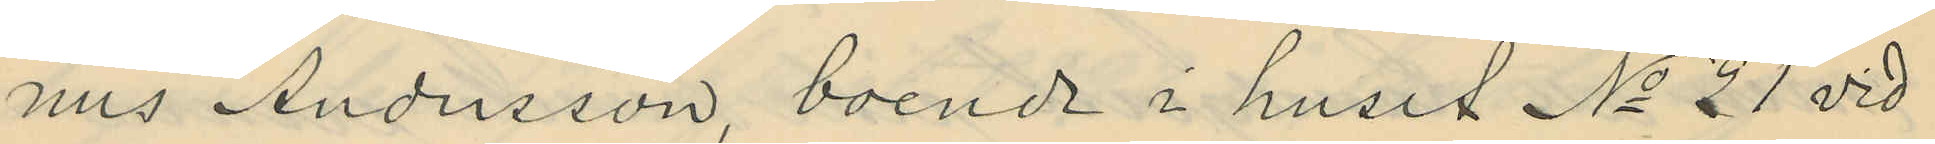nus Andersson, boende i huset No 21 vid
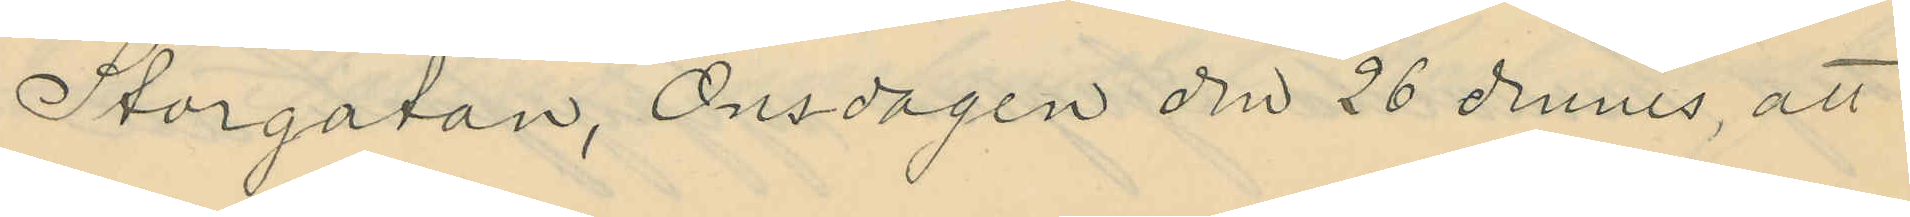Storgatan, Onsdagen den 26 dennes, att
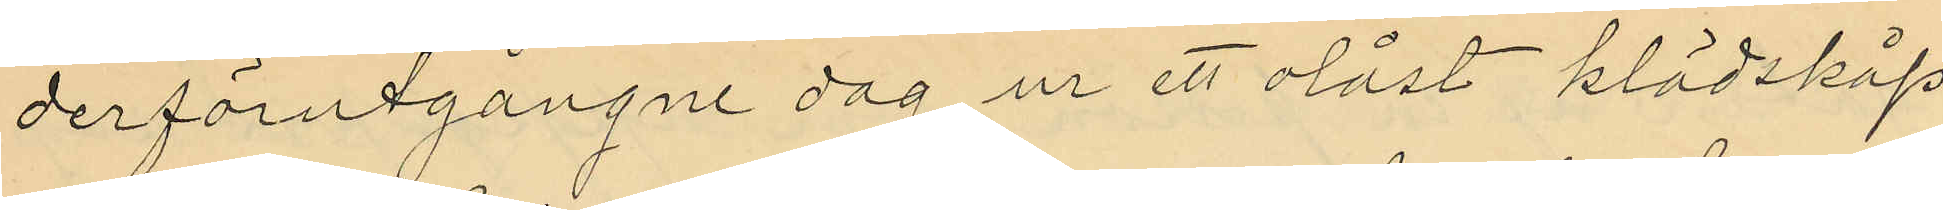derförutgångne dag ur ett olåst klädskåp
